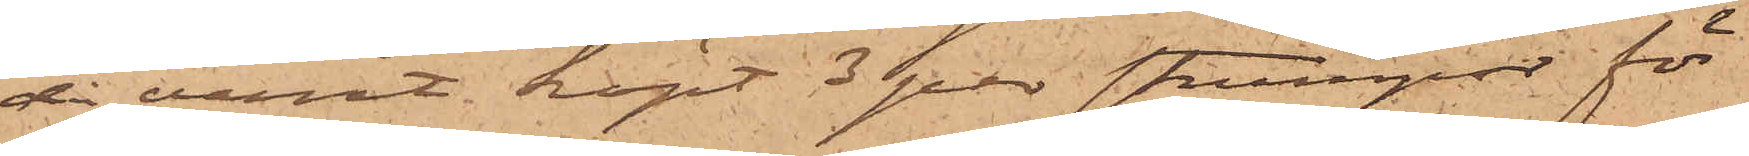då varit, köpt 3 par strumpor för
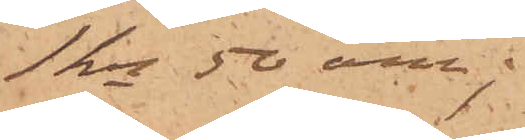1 kr 50 öre;
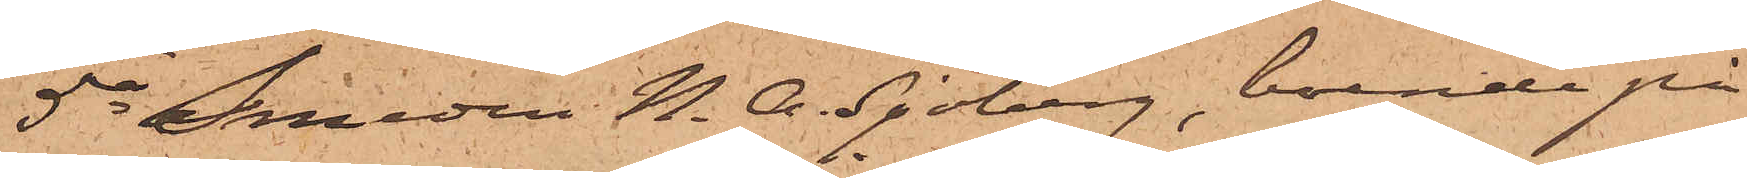5o Smeden N. A. Sjöberg, boende på
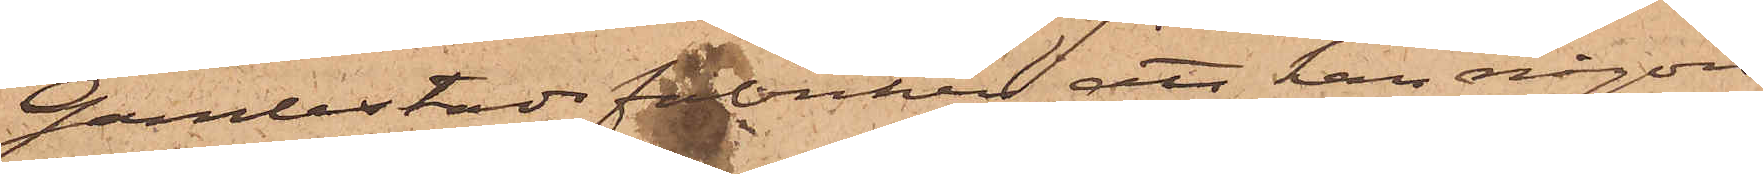Gamlestadsfabriken, att han någon
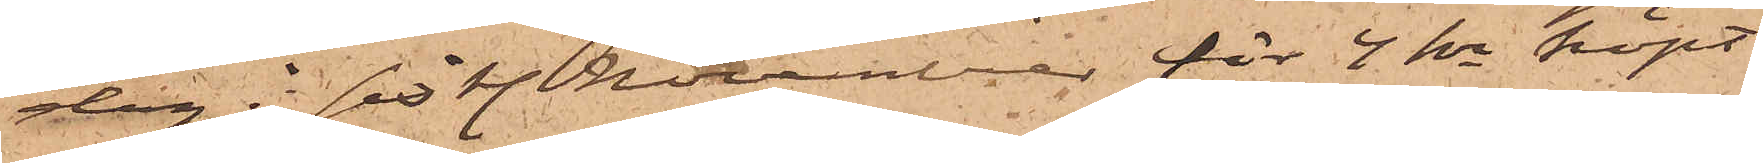dag i sistl. November för 4 kr köpt
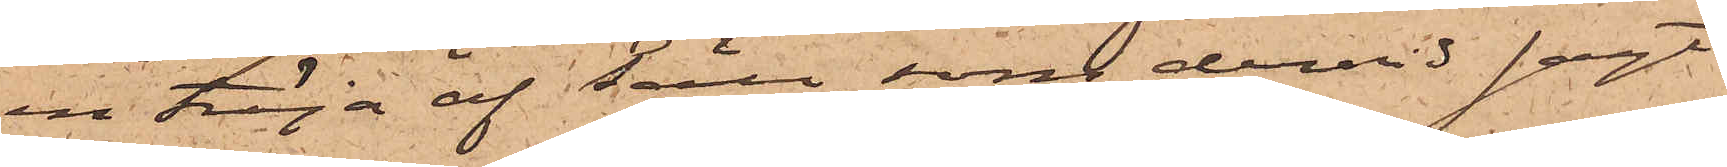en tröja af Säll, som dervid sagt
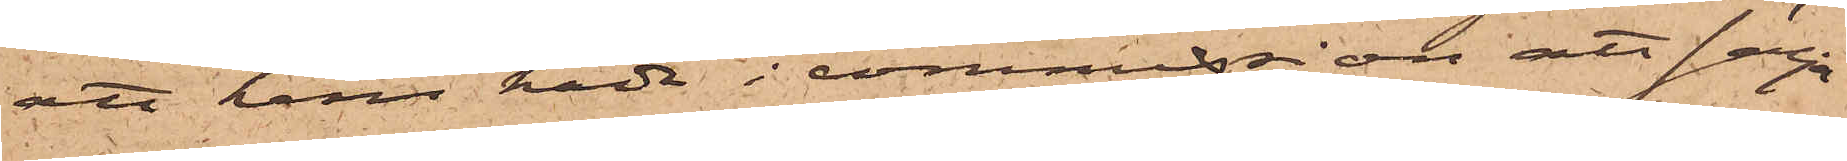att han hade i commission att sälja
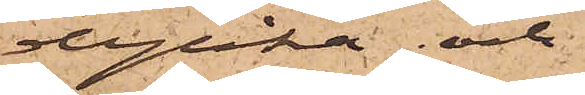dylika; och
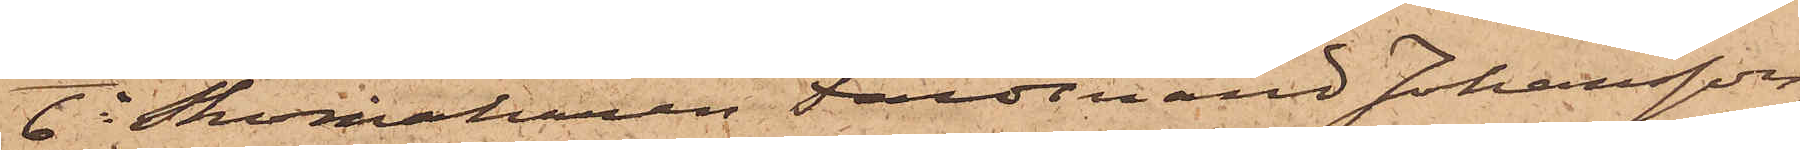6o Skomakaren Ferdinand Johansson,
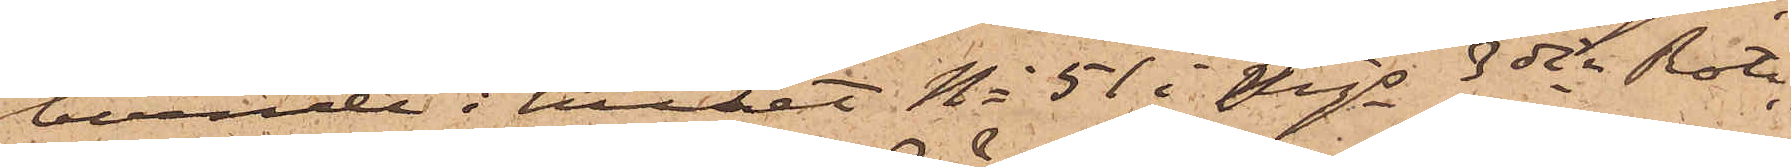boende i huset No 51 i Mjs 3dje Rote,
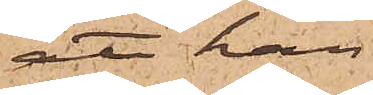att han
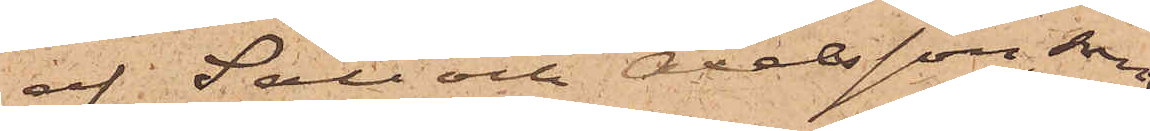af Säll och Axelsson, som
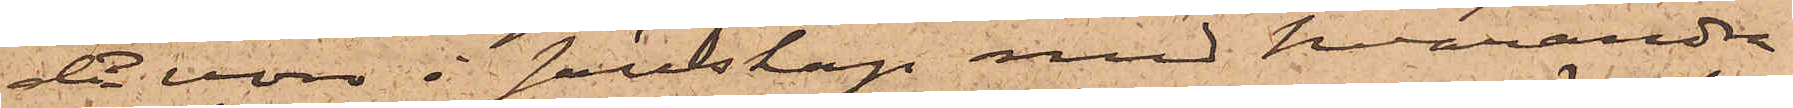då voro i sällskap med hvarandra
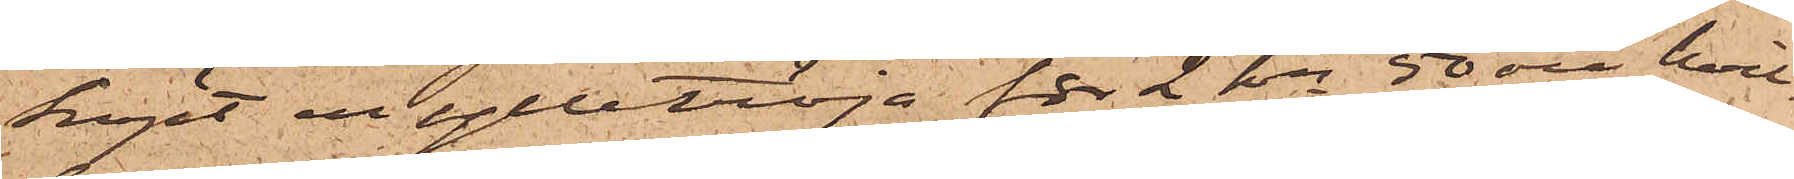köpt en ylletröja för 2 rdr 50 öre, hvil¬
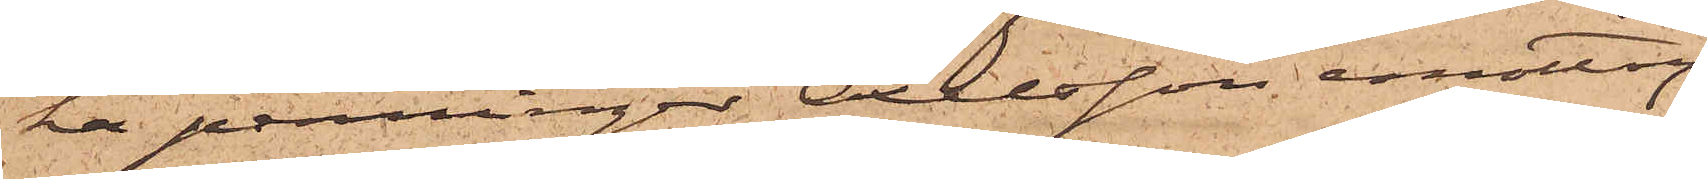ka penningar Axelsson emottog.
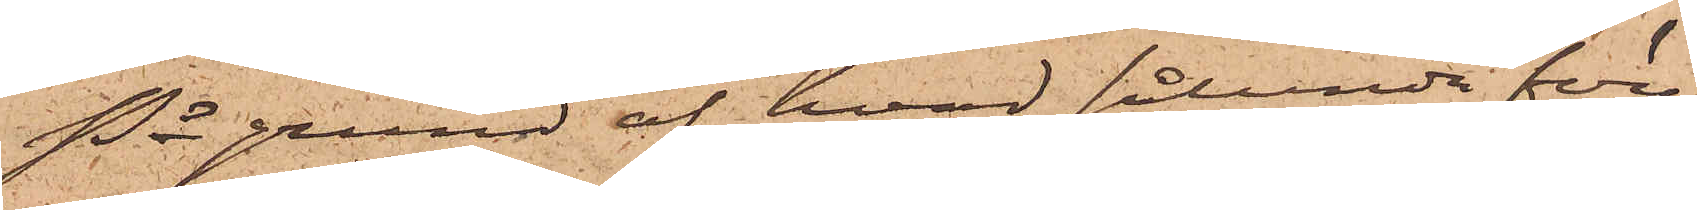På grund af hvad sålunda före¬
